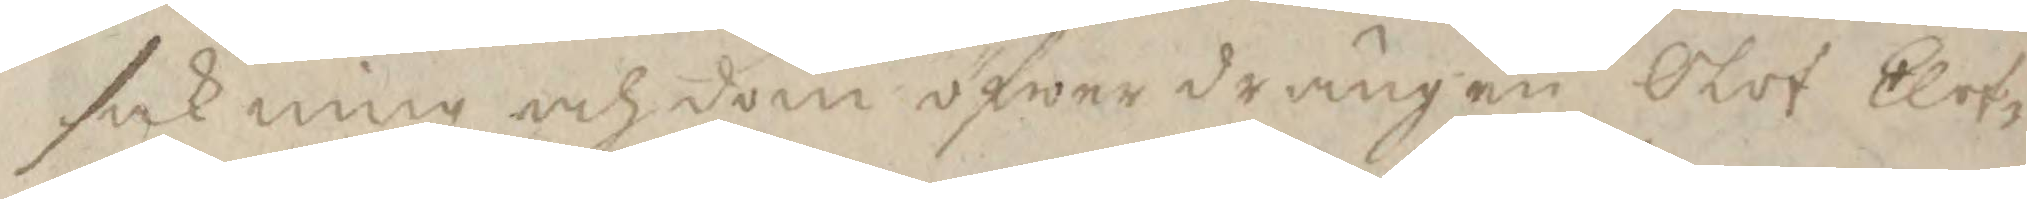sakning och dom öfwer drängen Olof Elof¬
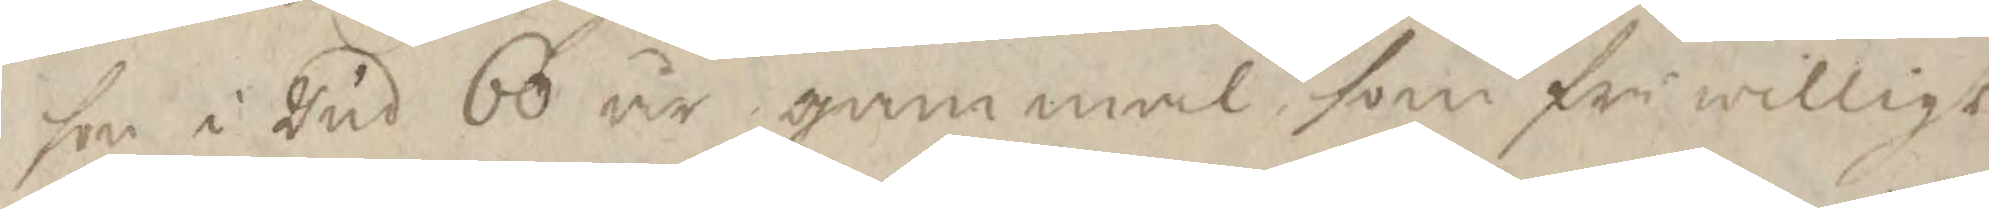son i Rud 60 år gammal som friwilligt
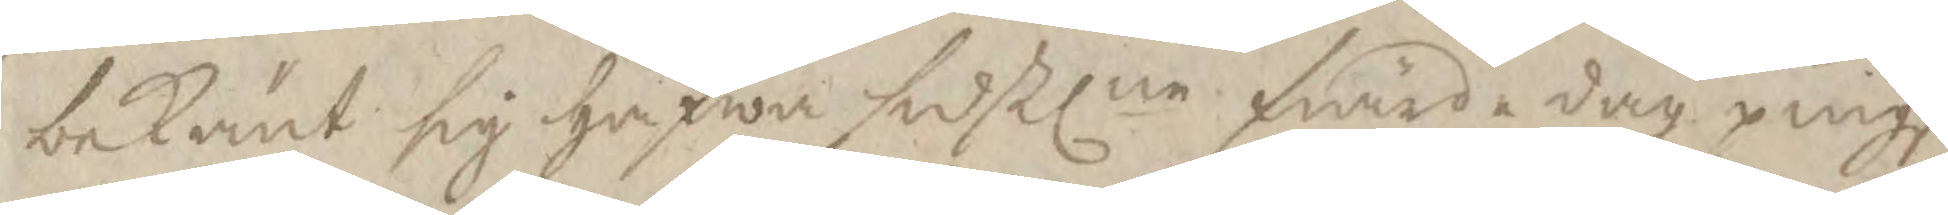bekänt sig hafwa sidstlne fiärdedag pingst
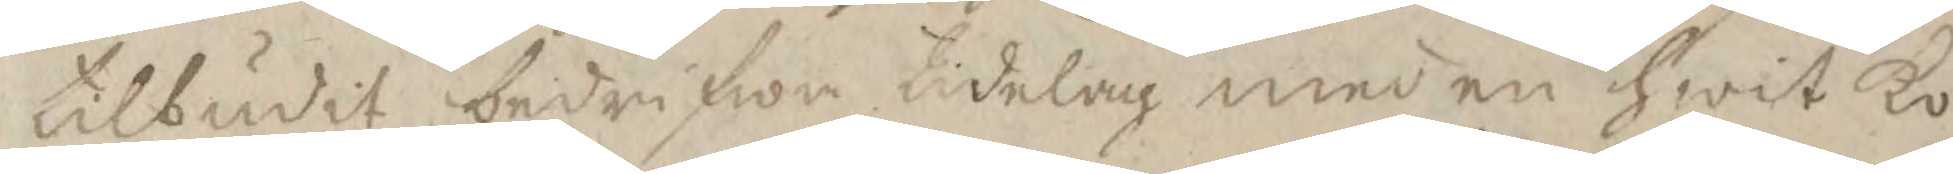tilbudit bedrifwa tidelag med en hwit ko
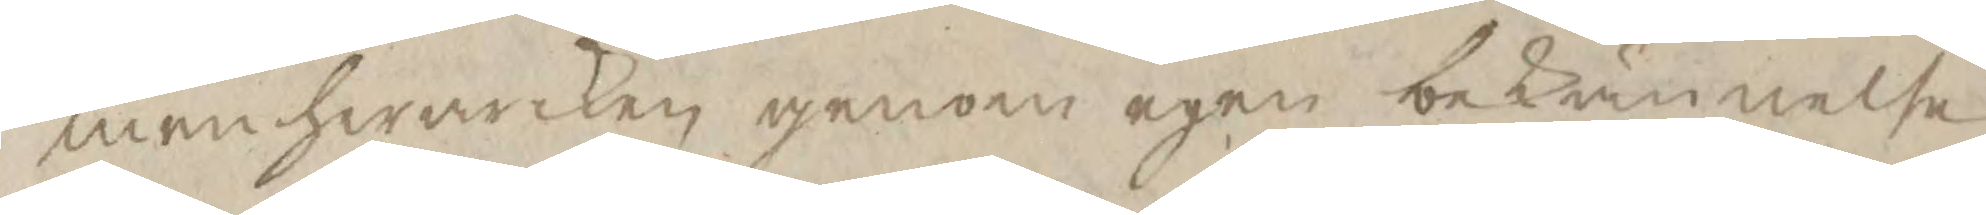men hwarken genom egen bekännelse
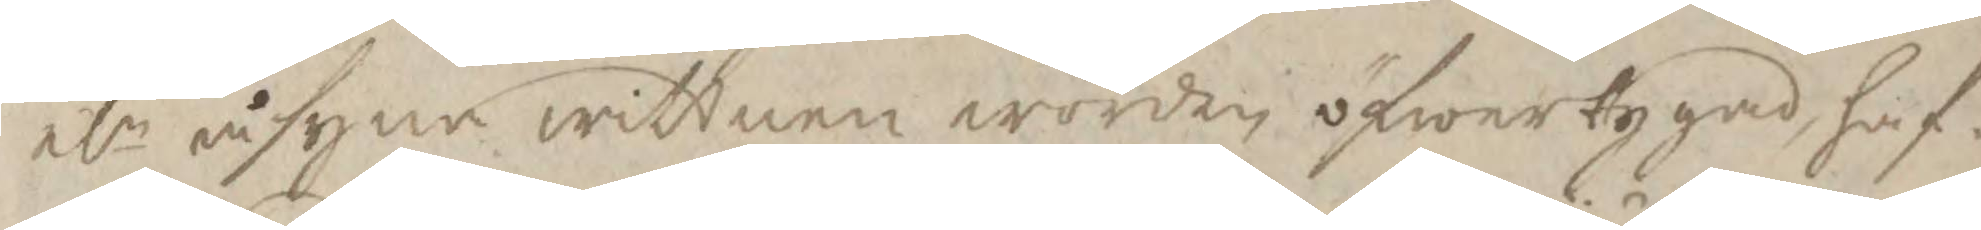elr åsyna wittnen worden öfwertygad, haf¬
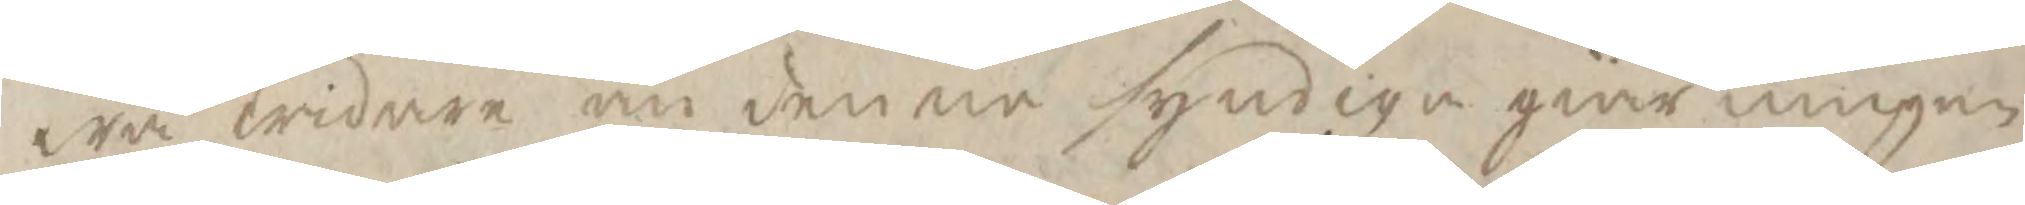wa widare än denne syndige giärningen
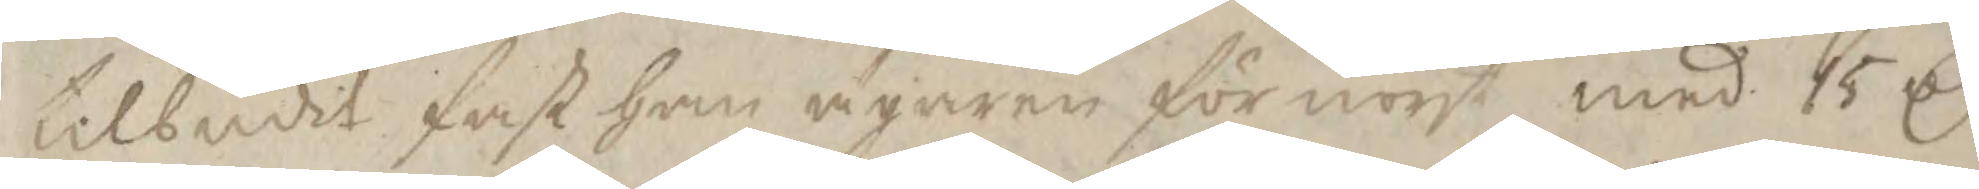tilbudit fast han ägaren förnoyt med 15 Cr
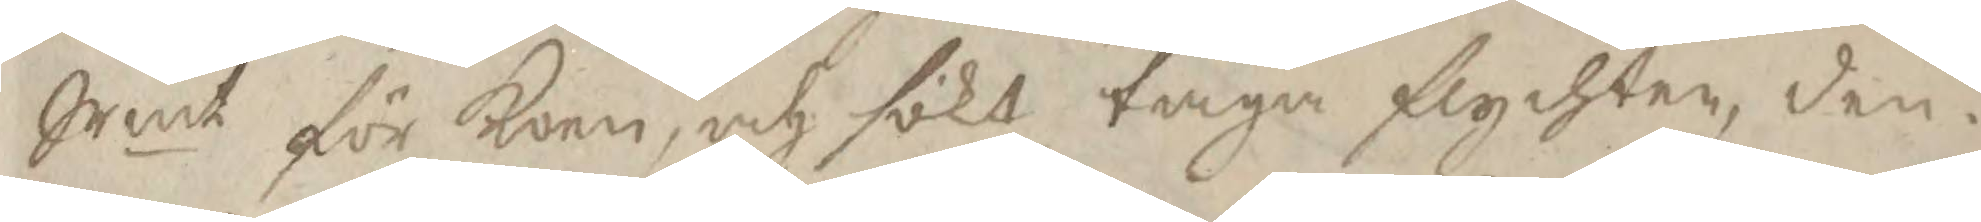Srmt för Koen, och sökt taga flychten, den¬
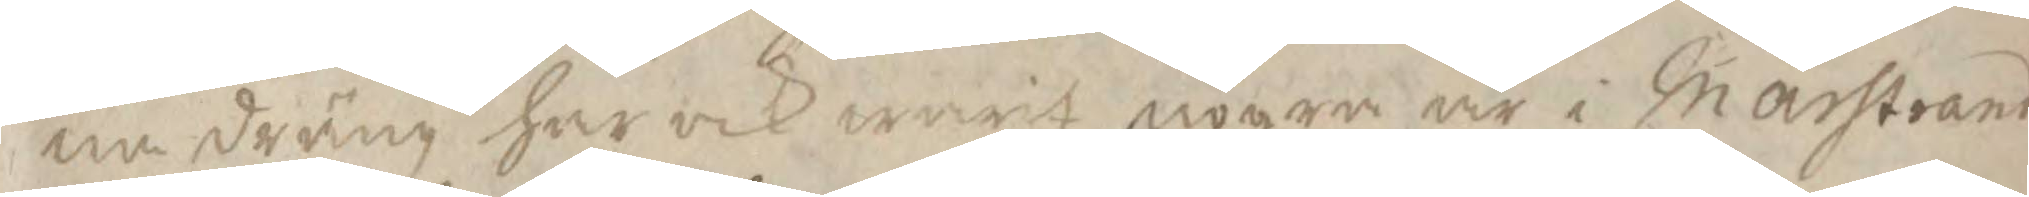na dräng har ocl warit nogre år i marstrand
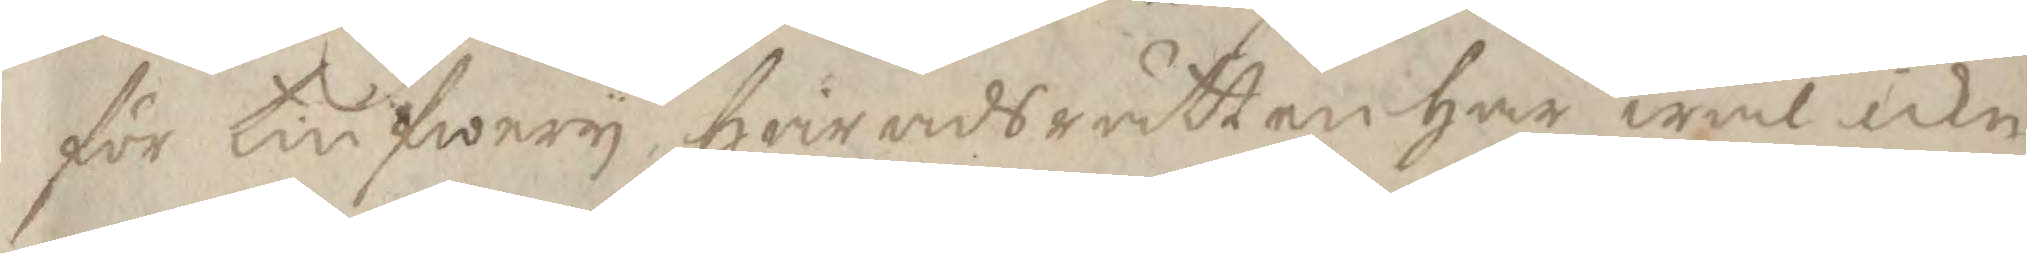för tiufwery, häradsrätten har wäl icke
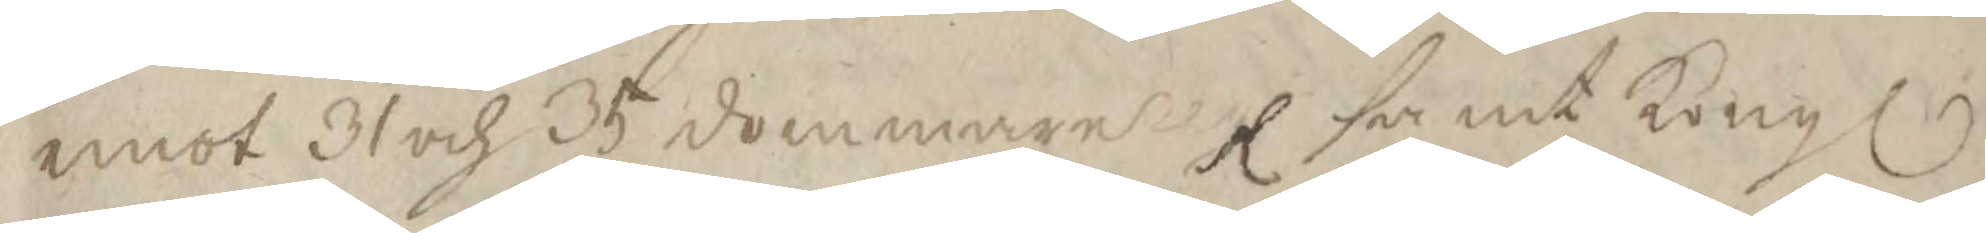wmot 31 och 35 dommarens r samt Kongl
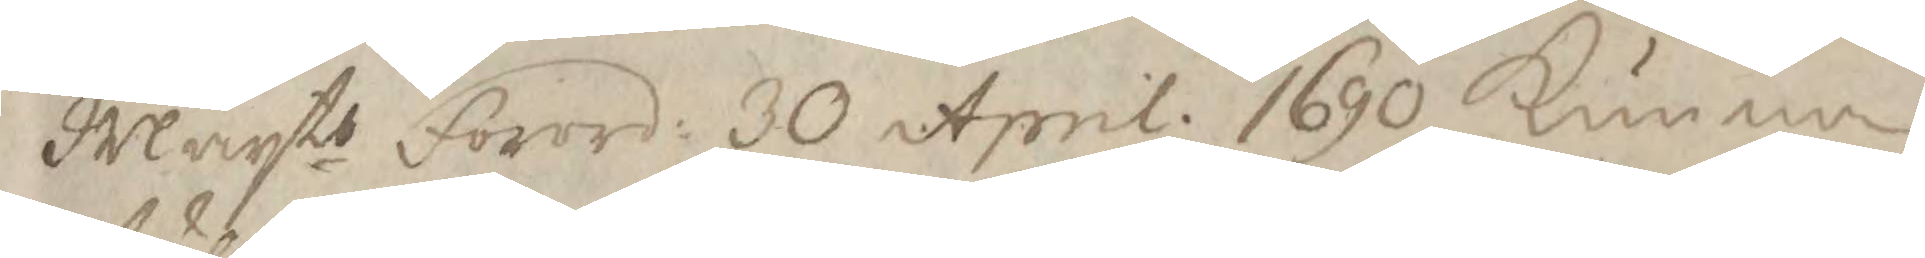Maytts forord: 30 April 1690 kunna
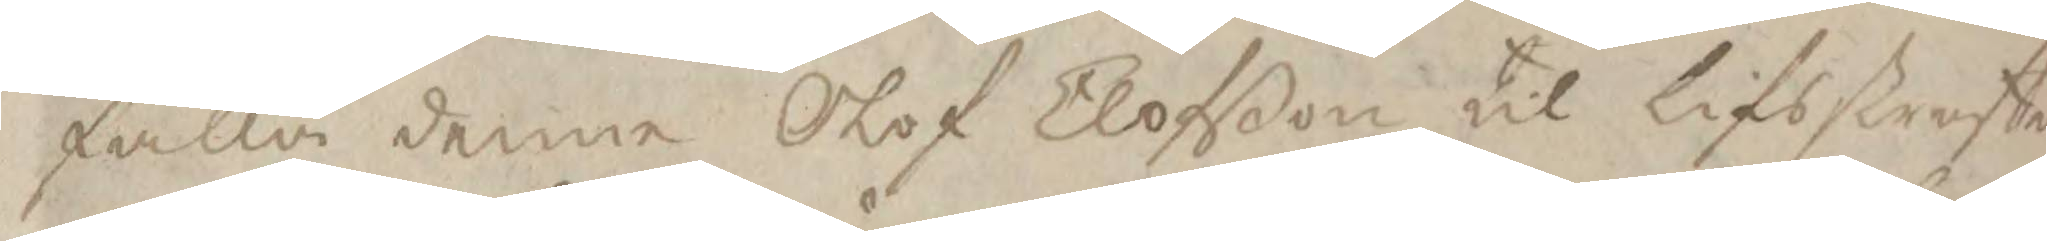fälla denne Olof Elofßon til lifsstraffet
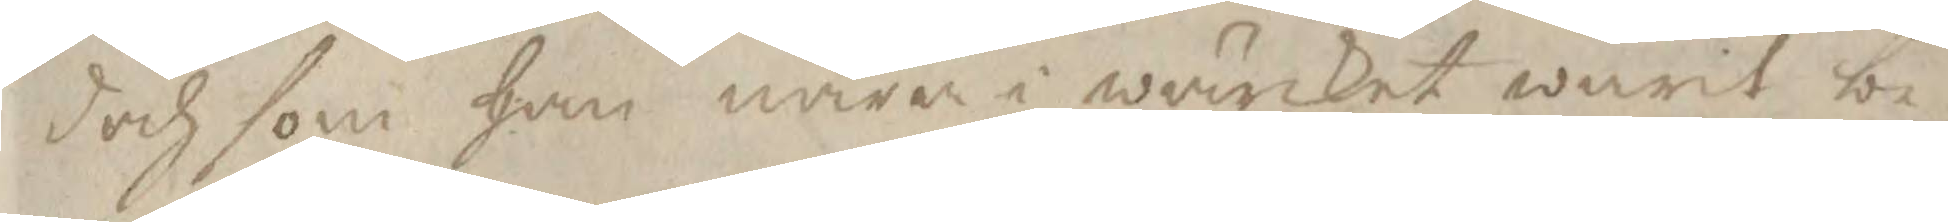doch som han nåra i wärcket warit be¬
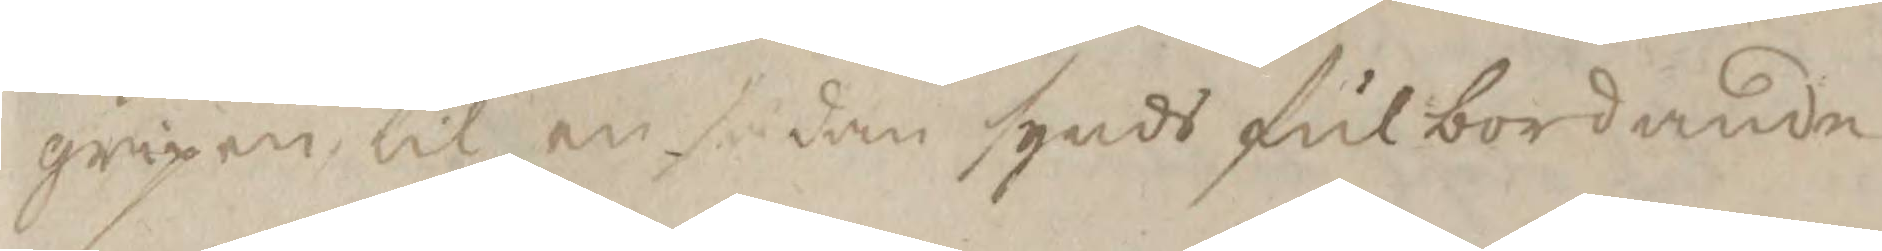gripen til en sådan synds fulbordande
